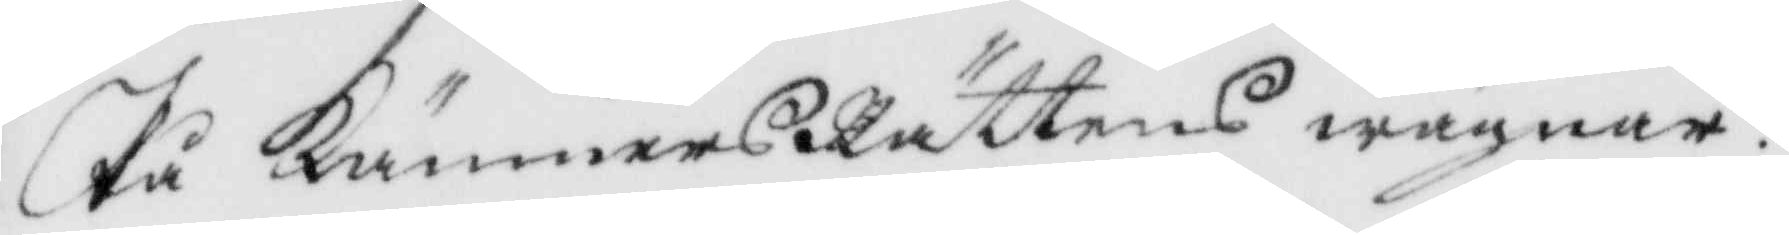På KämnersRättens wägnar.
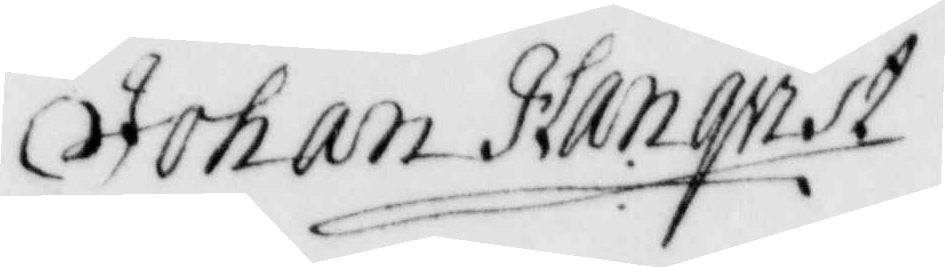Johan Hanqvist
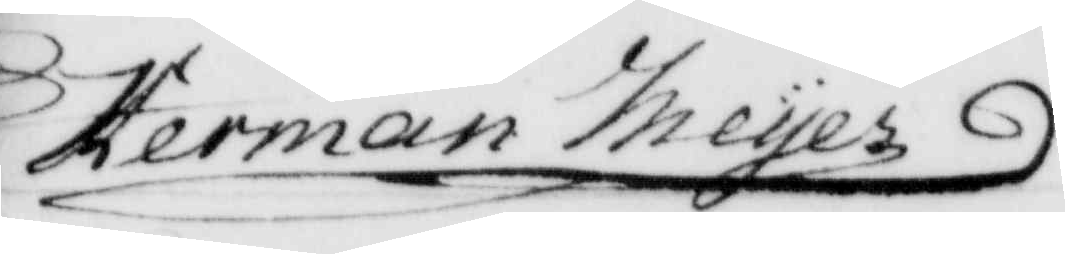Herman Meyer
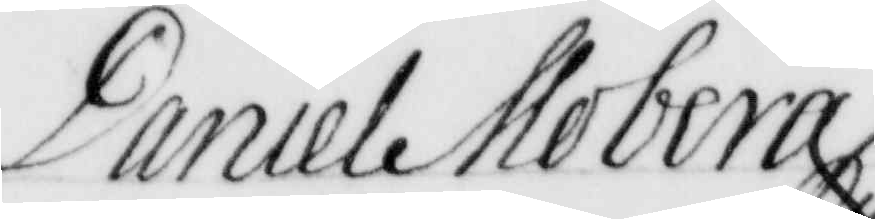Daniel Moberg
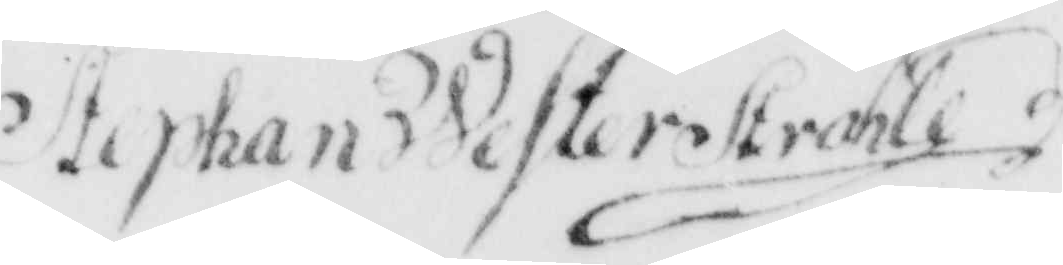Stephan Westerstråhle
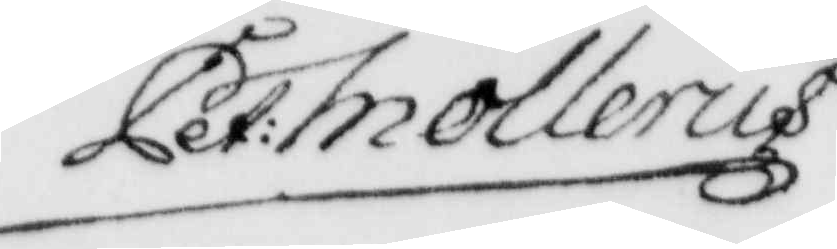Pet: Mollerus
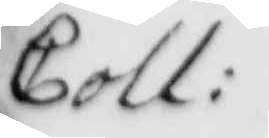Coll:
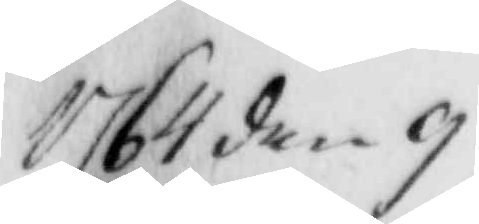1764 den g
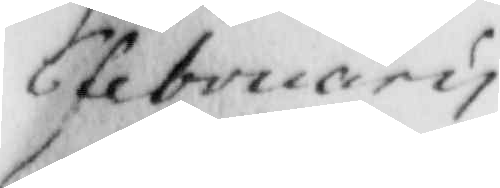6 february
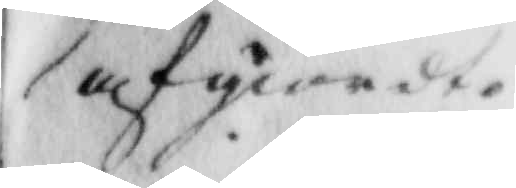afgiordte
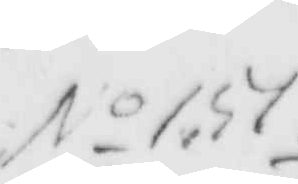No 157
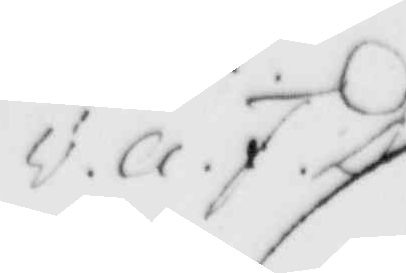v.a.F.D.
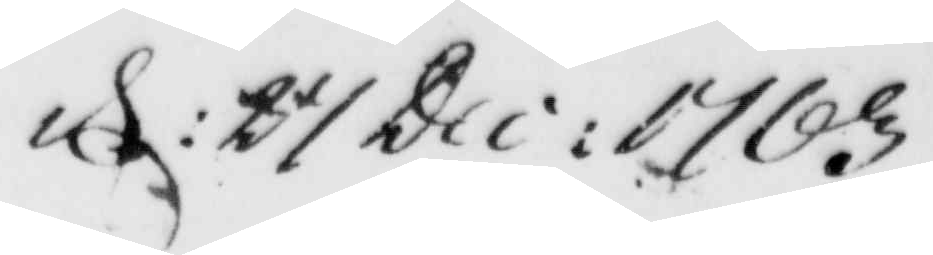d: 31 Dec: 1763
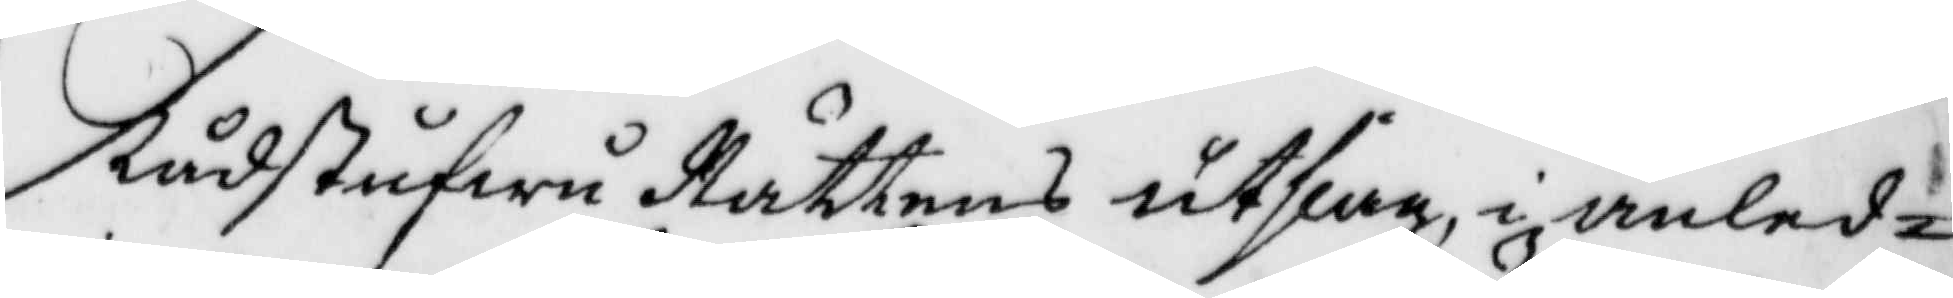Rådstyfwu Rättens utslag i anled¬
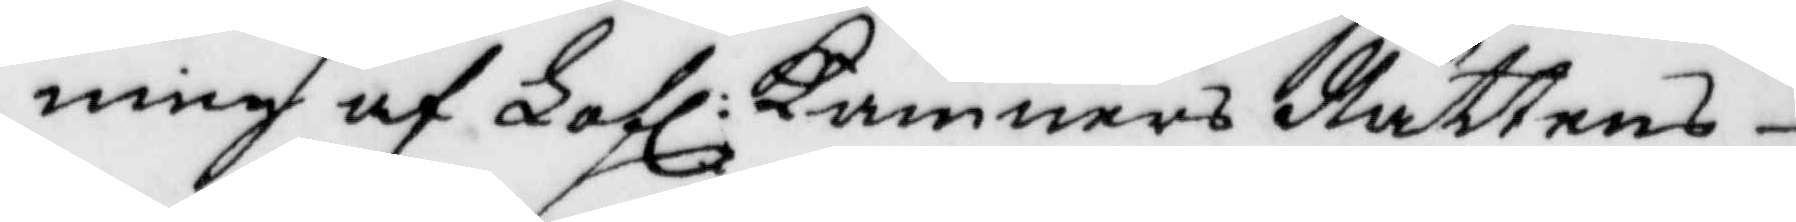ning af Lofl: Kämners Rättens
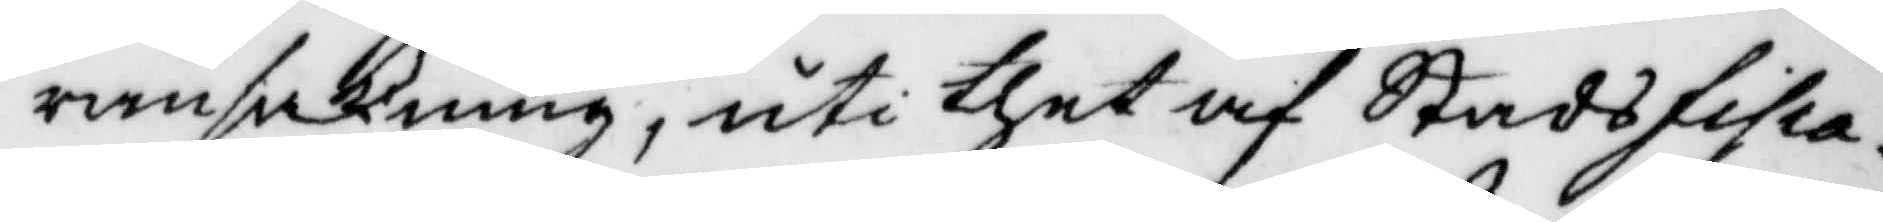ransakning, uti thet af Satdsfisca¬
